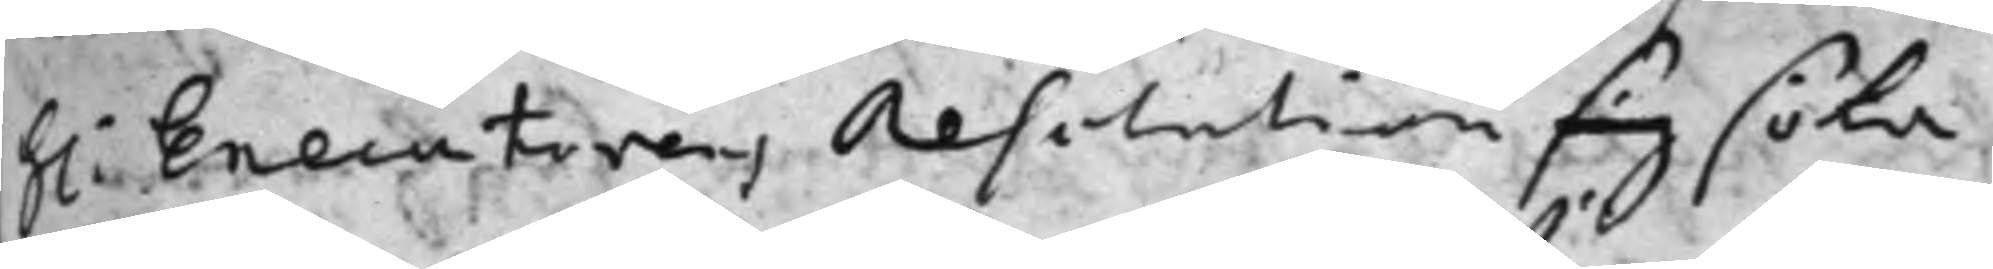h: Executorens Resolution sig söka
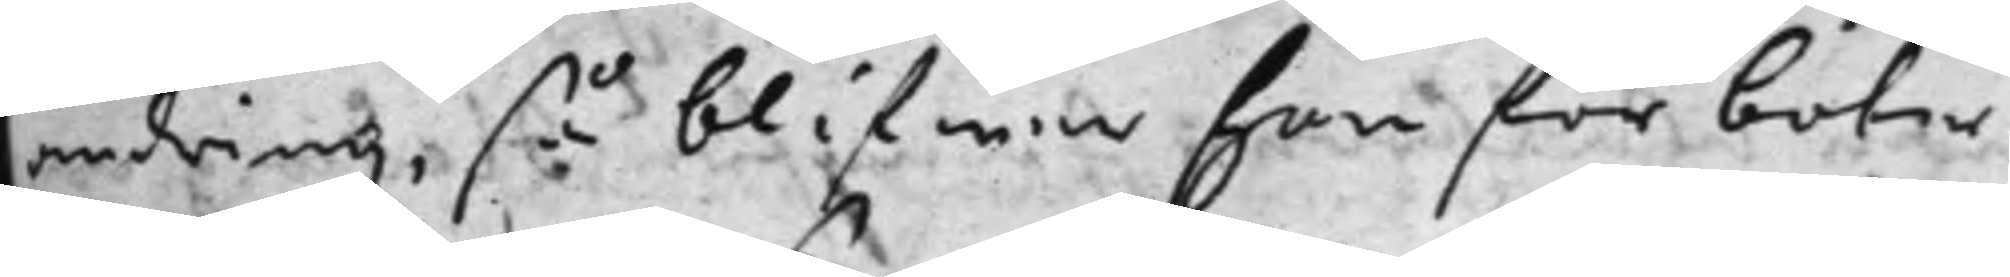ändring, så blifwa hon för böter
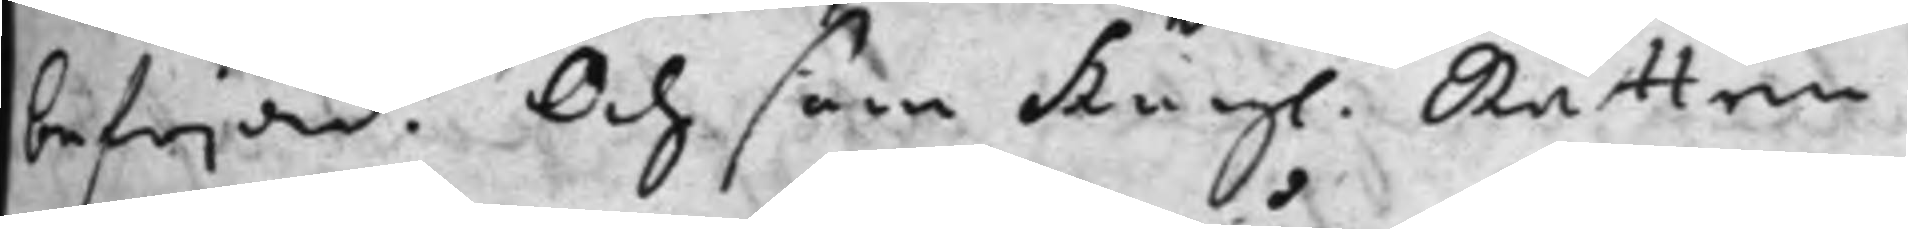befriad. Och som Kng. Rätten
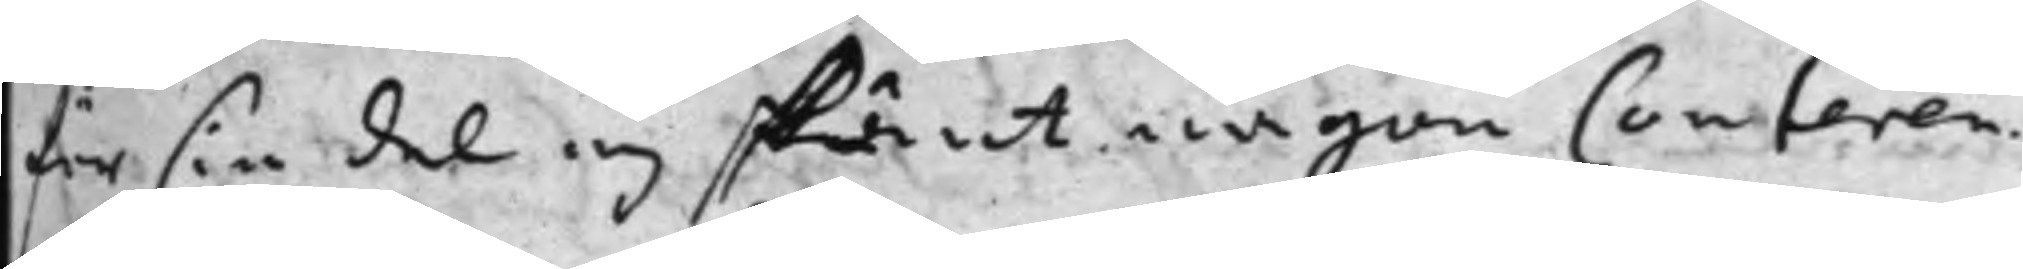för sin del ej skänt någon Conferren¬
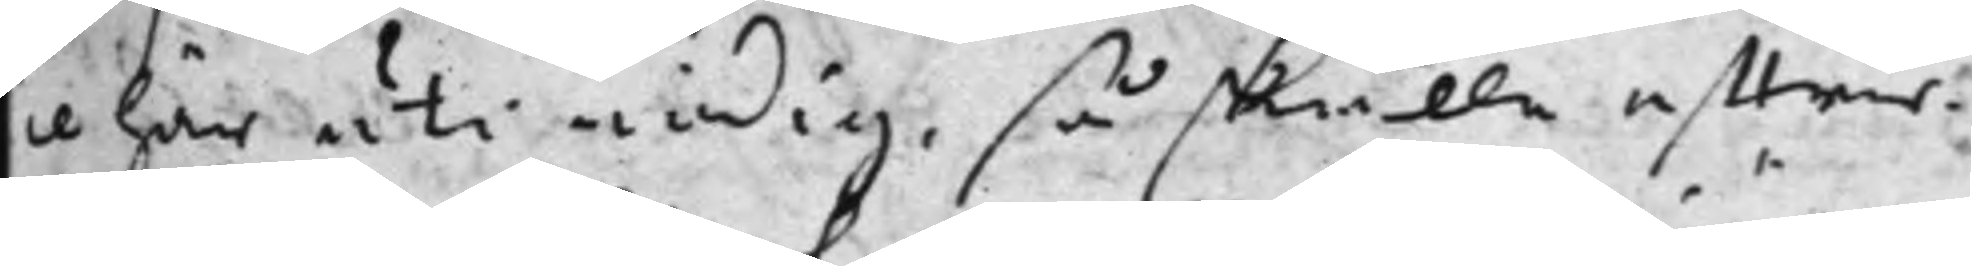ce här uti nödig, så skulle effter¬
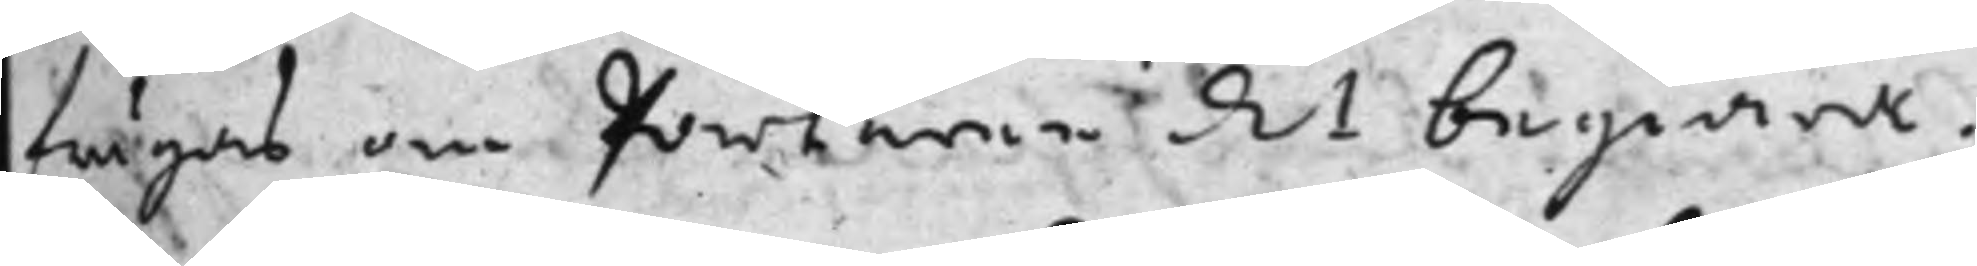frågas om  parlaren d 1 begiära.
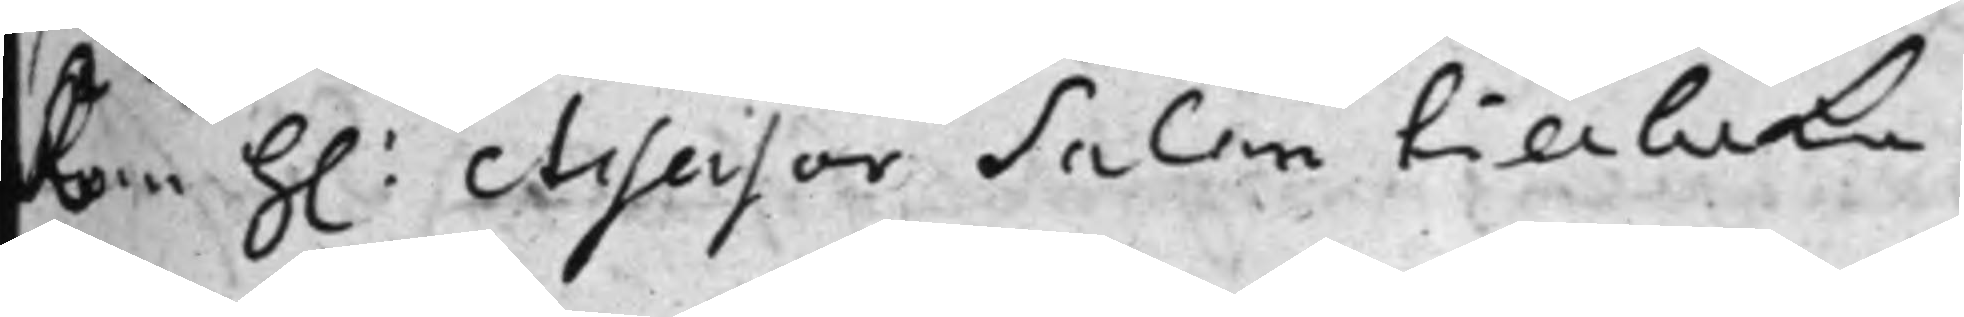Kom h: Assessor Salan tillbaka
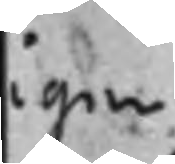igen
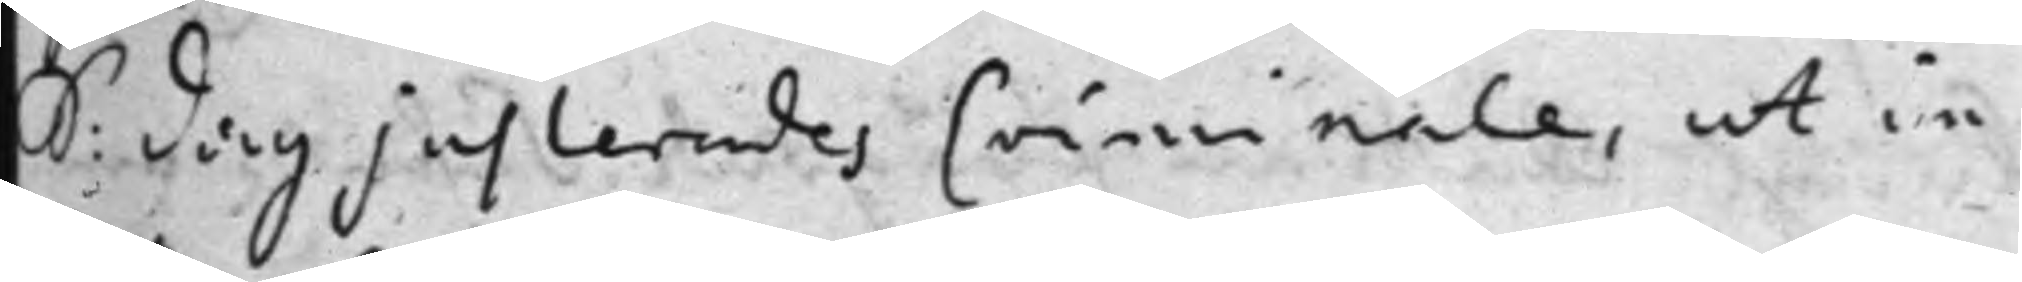S: Dag justeradesCriminale, ut in
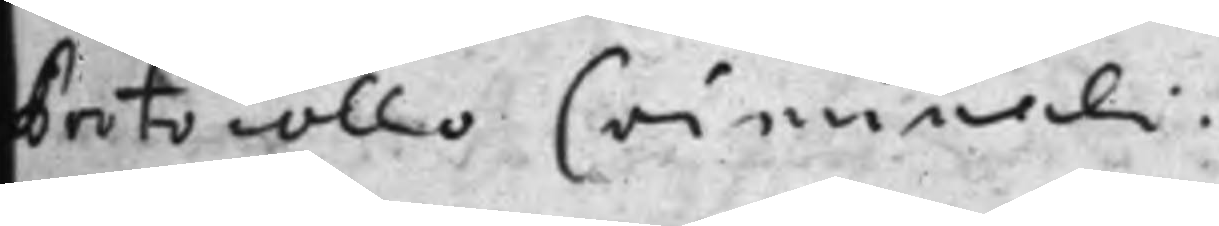Protocollo Criminali.
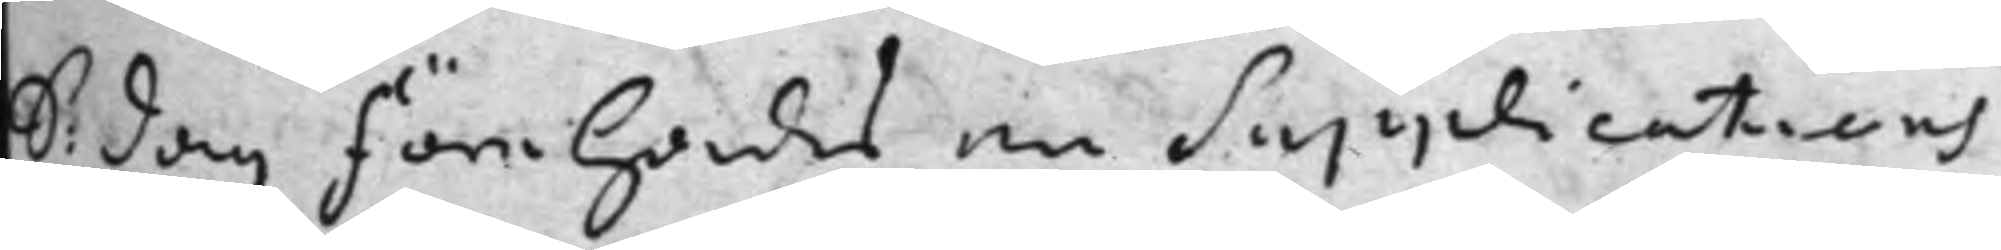S: dag förehades en supplications
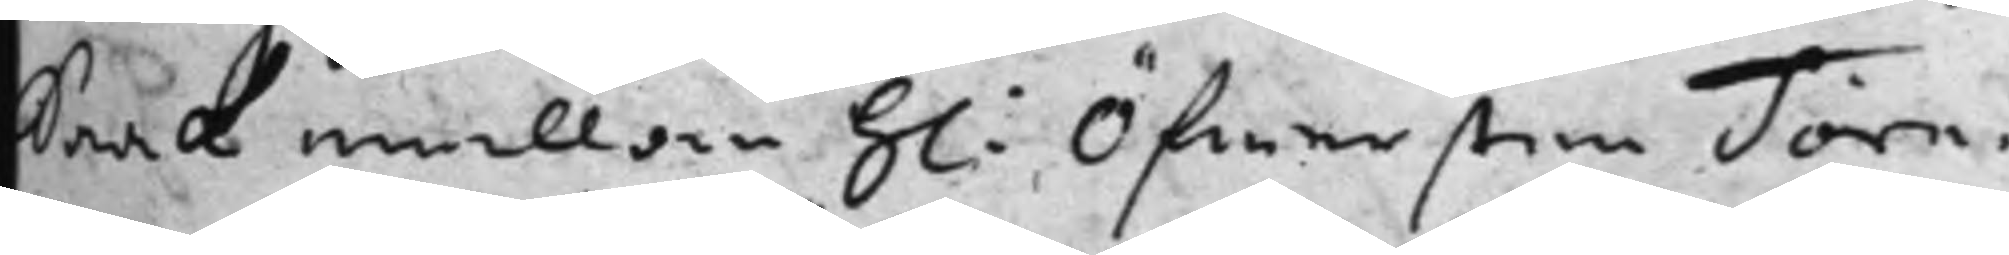Saak emellan h: Öfwersten Törn¬
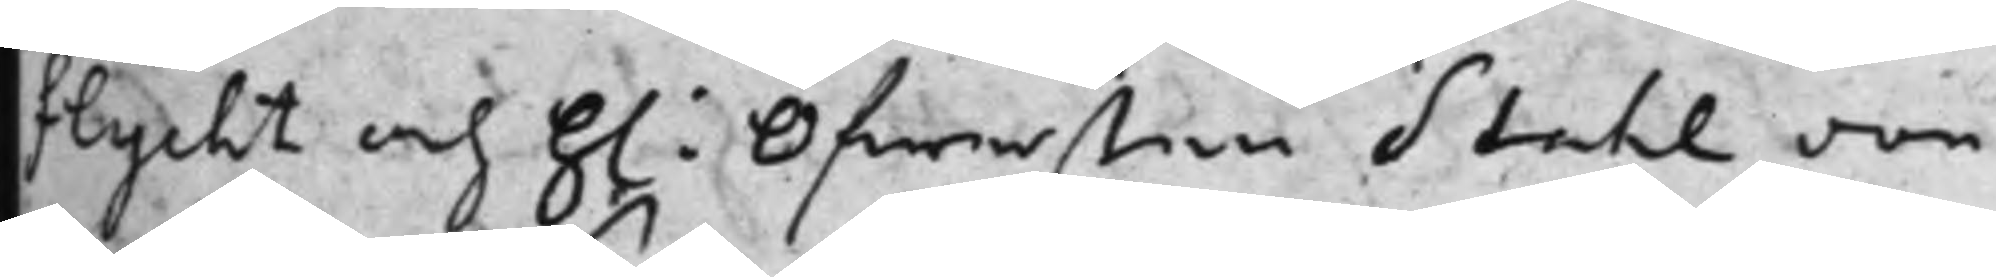flycht och h: Öfwersten Stahl von
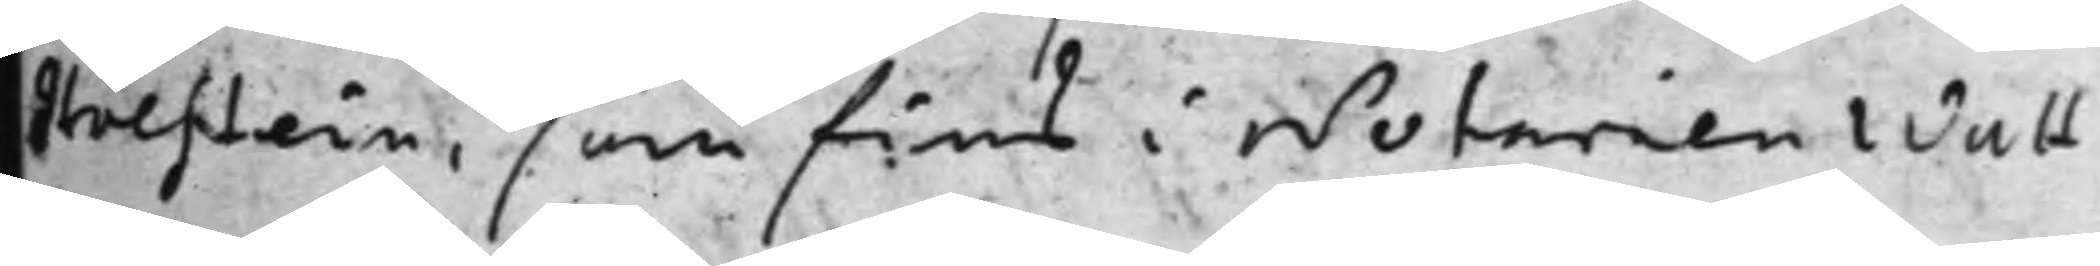Holstein, som fins i Notarien Walt¬
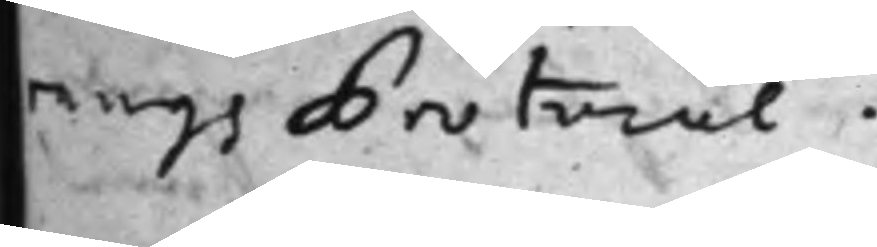rangs Protocol.
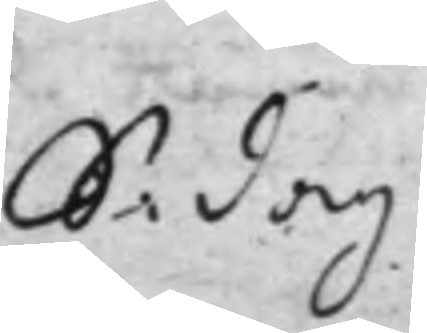S: Dag
